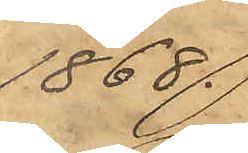1868.
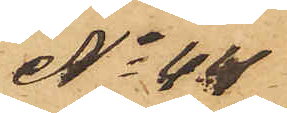No 44
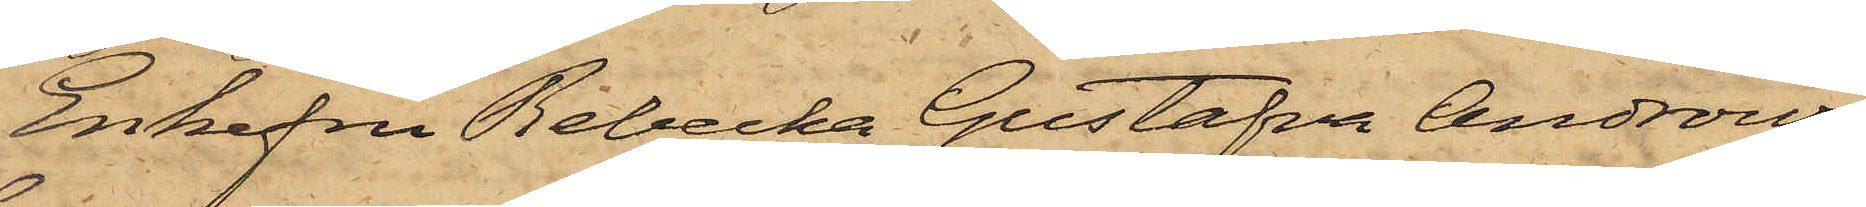Enkefru Rebecka Gustafva Androws
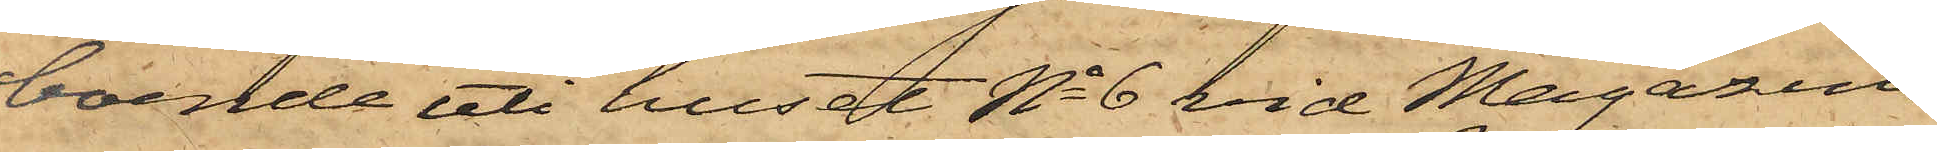boende uti huset No 6 vid Magasins¬
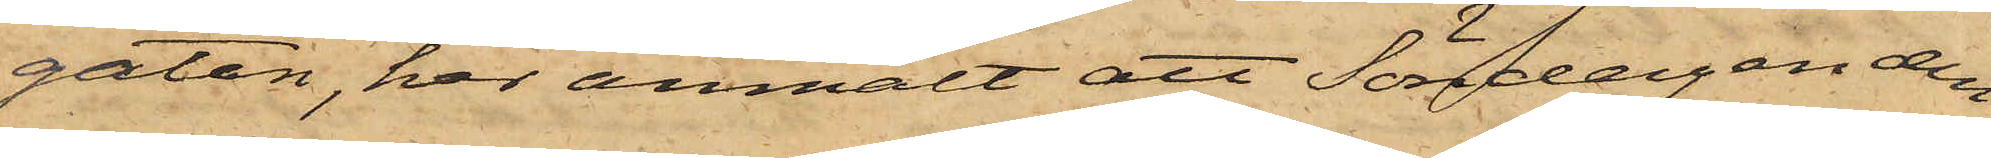gatan, har anmält att Söndagen den
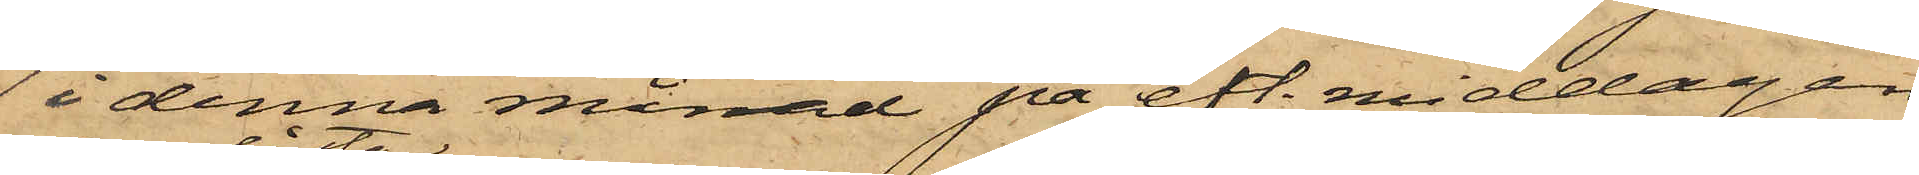1 i denna månad på eft. middagen
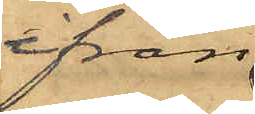ifrån
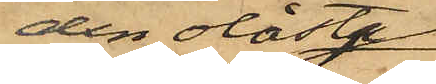den olåsta
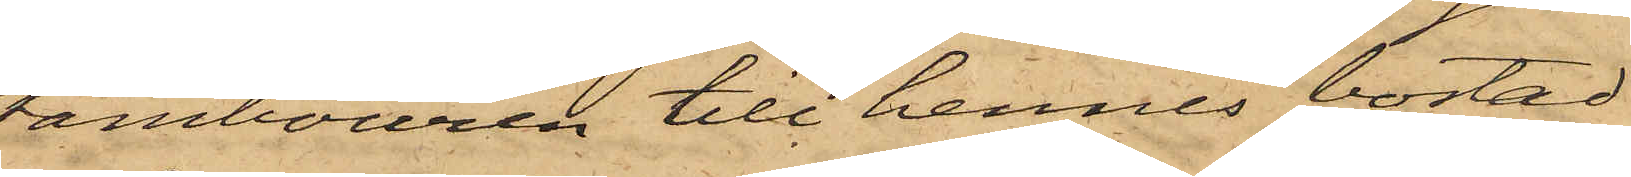tambouren till hennes bostad
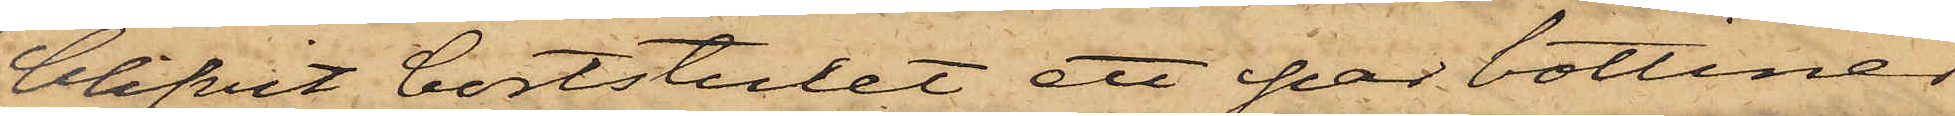blifvit bortstulet ett par bottiner
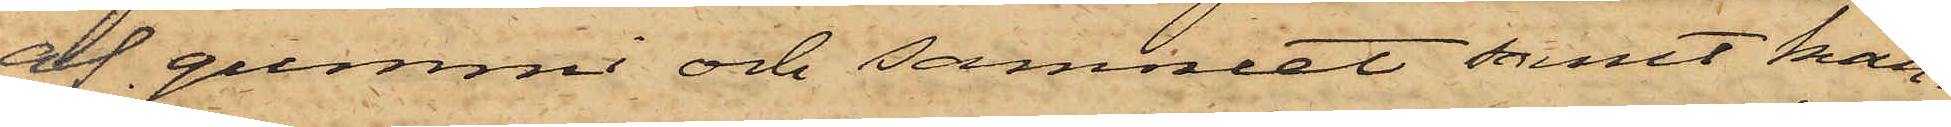af gummi och sammet samt kan¬
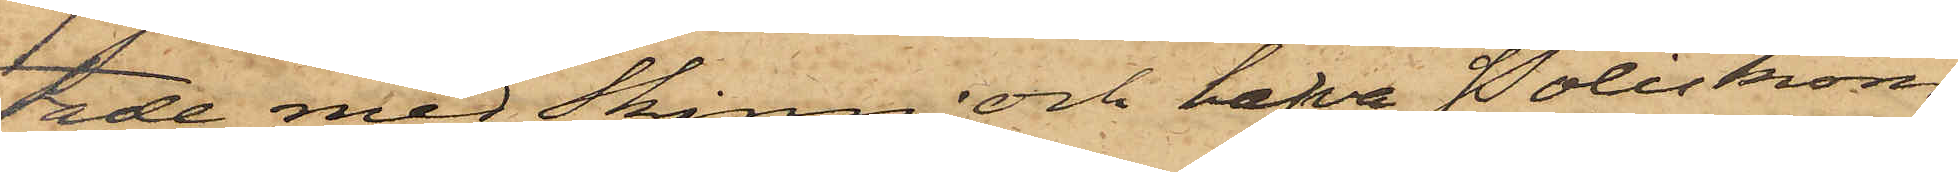tade med skinn; och hafva Poliskom¬
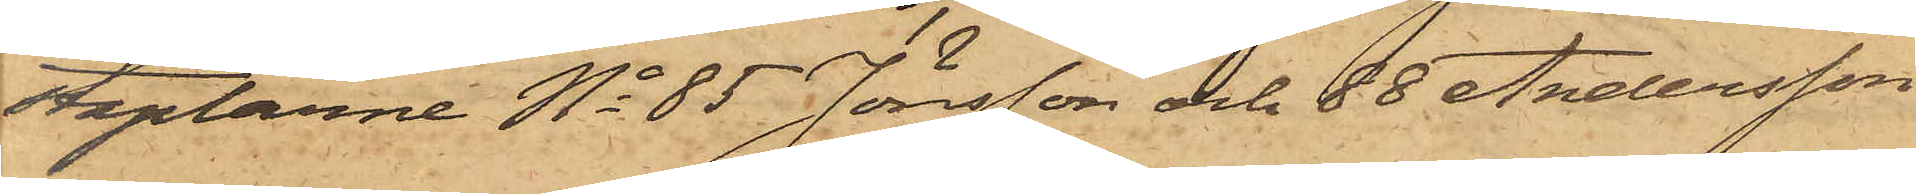taplarne No 85 Jönsson och 88 Andersson
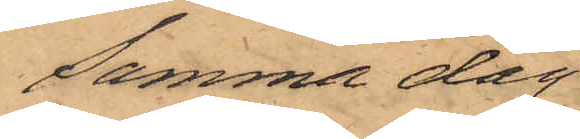samma dag
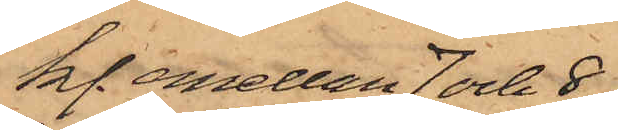kl. emellan 7 och 8
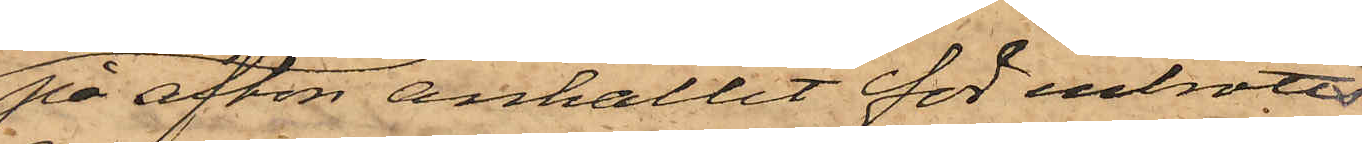på afton anhållit för inbrotts¬
